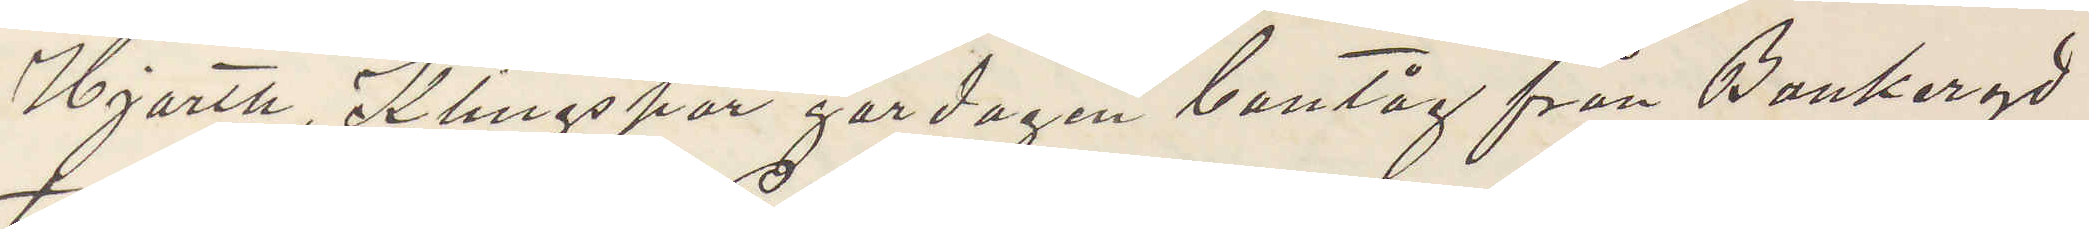Hjorth, Klingspor gårdagen bantåg från Bankeryd
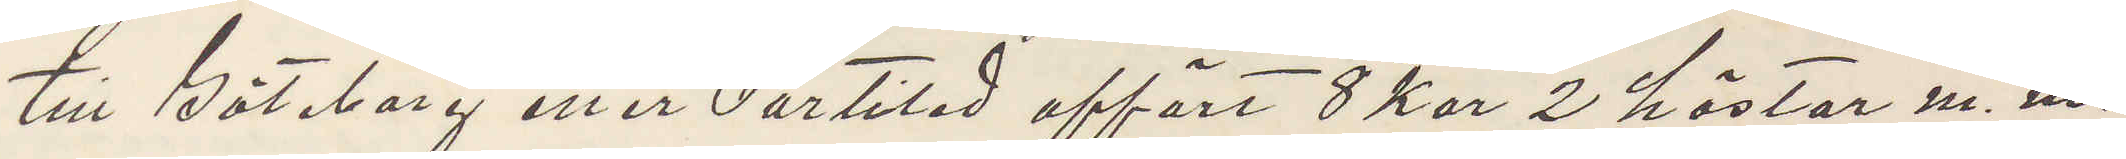till Göteborg eller Partiled affört 8 kor 2 hästar m. m.
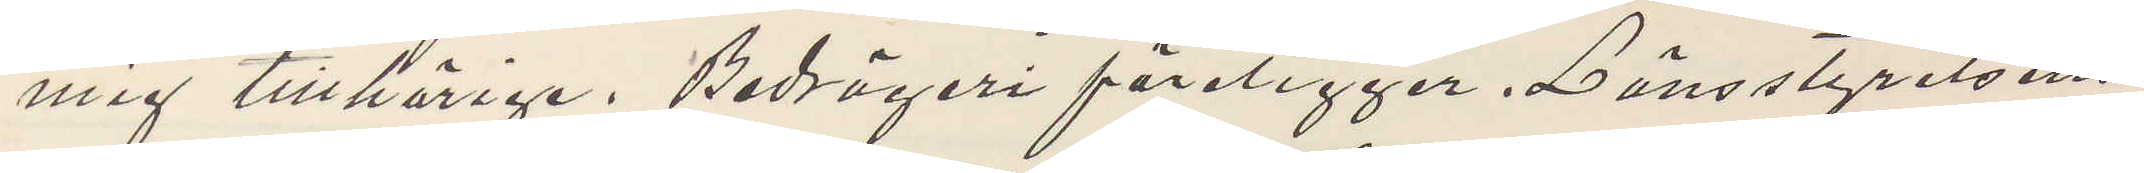mig tillhörige. Bedrägeri föreligger. Länsstyrelsens
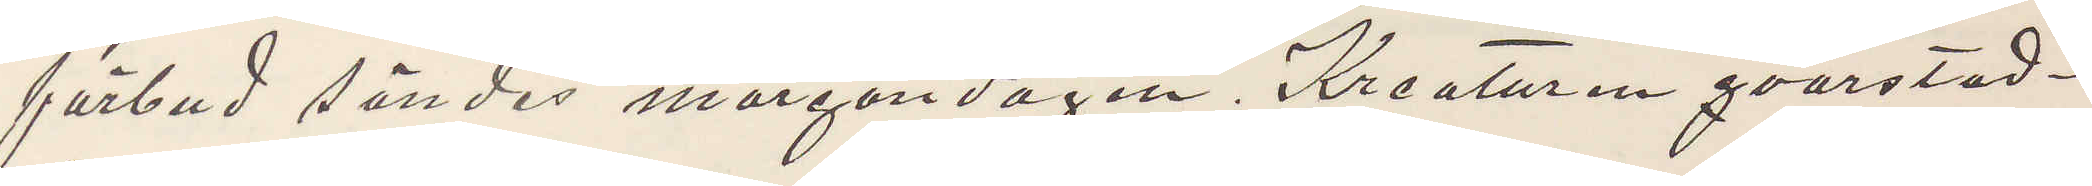förbud sändes morgondagen. Kreaturen qvarstad¬
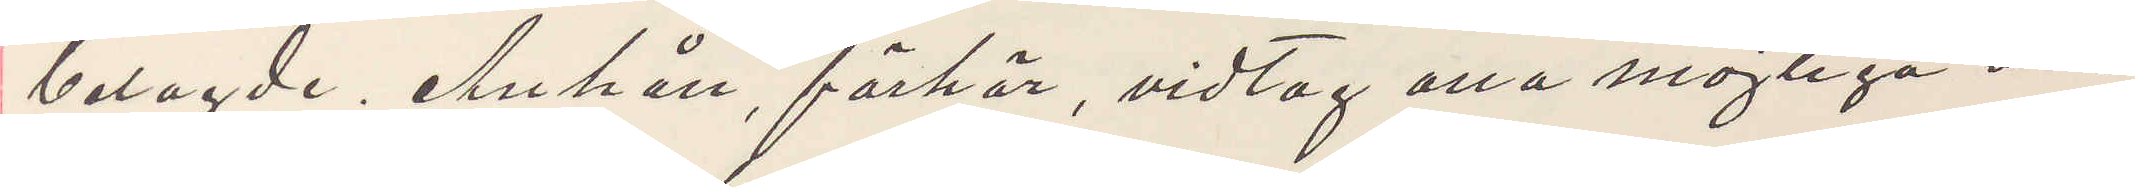belagde. Anhåll, förhör, vidtag ena möjliga åt¬
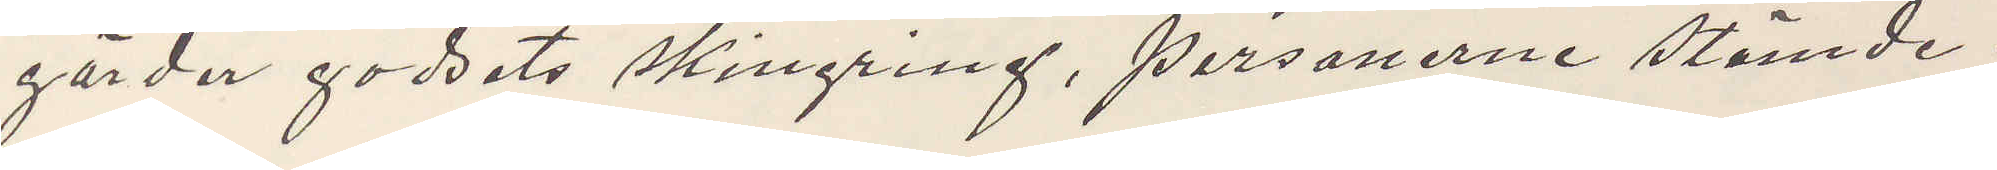gärder godsets skingring, personerne stämde.
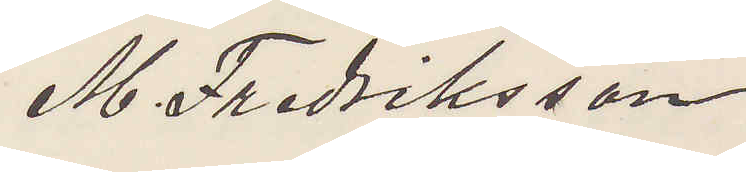M. Fredriksson
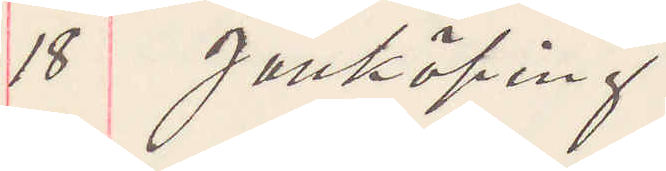18 Jönköping
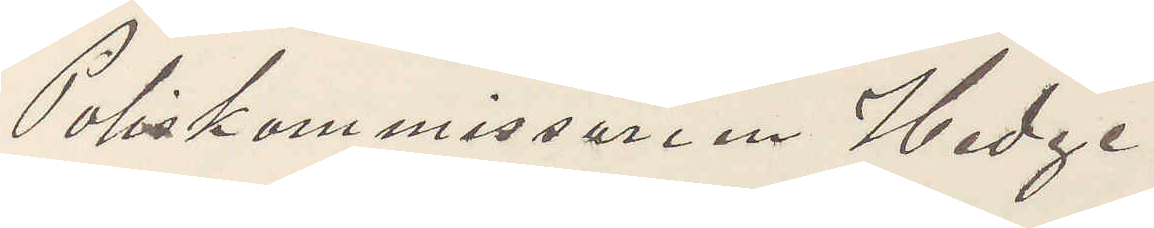Poliskommissarien Hedge¬
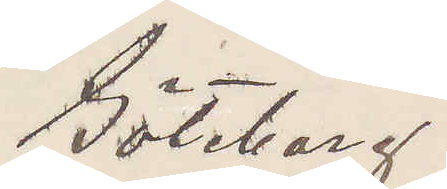Göteborg
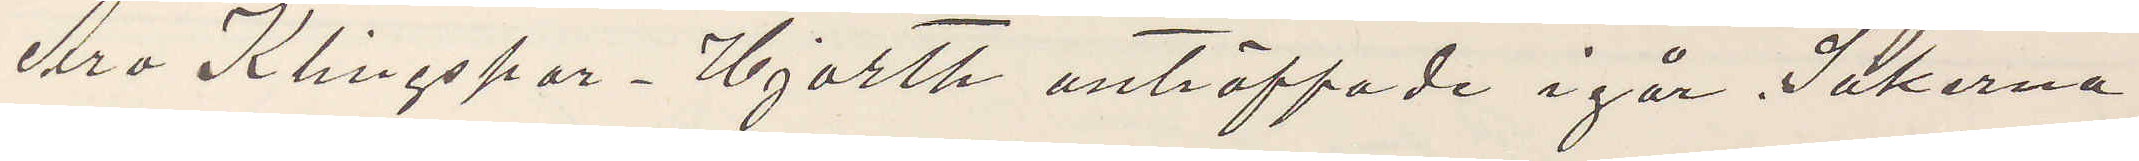Äro Klingspor Hjorth anträffade i går. Sakerna
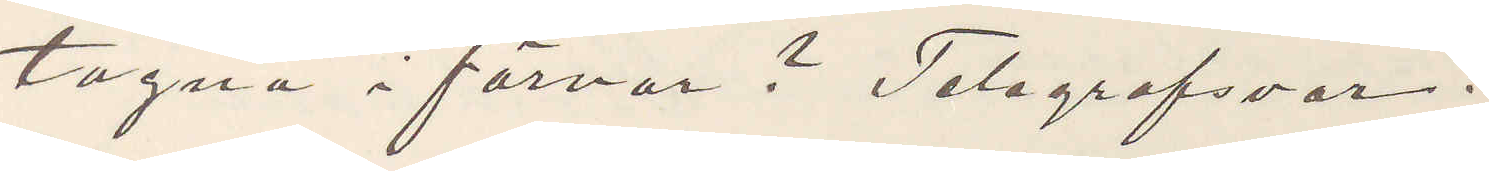tagna i förvar? Telsgrafsvar.
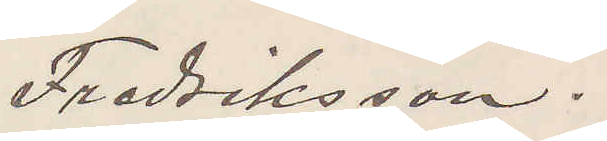Fredriksson.
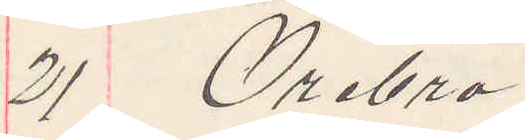21 Örebro
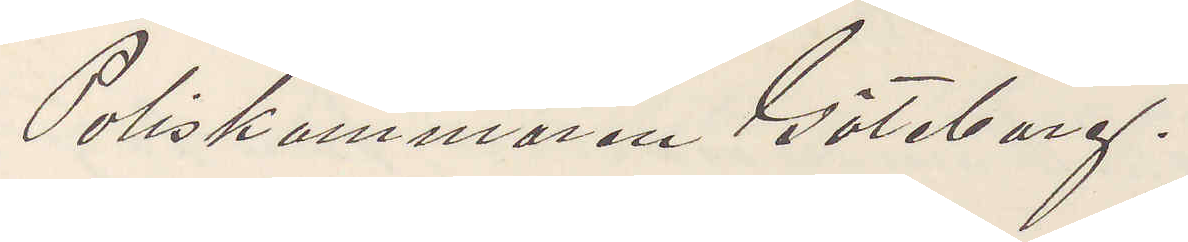Poliskammaren Göteborg.
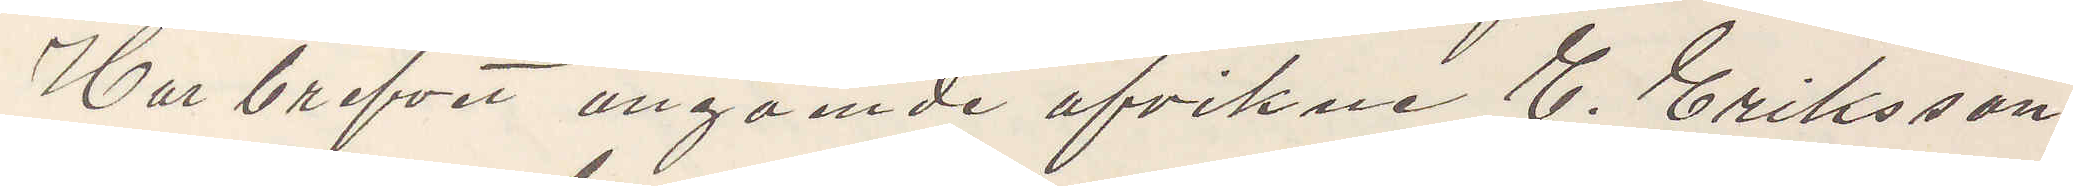Har brefvet angående afvikne E. Eriksson
